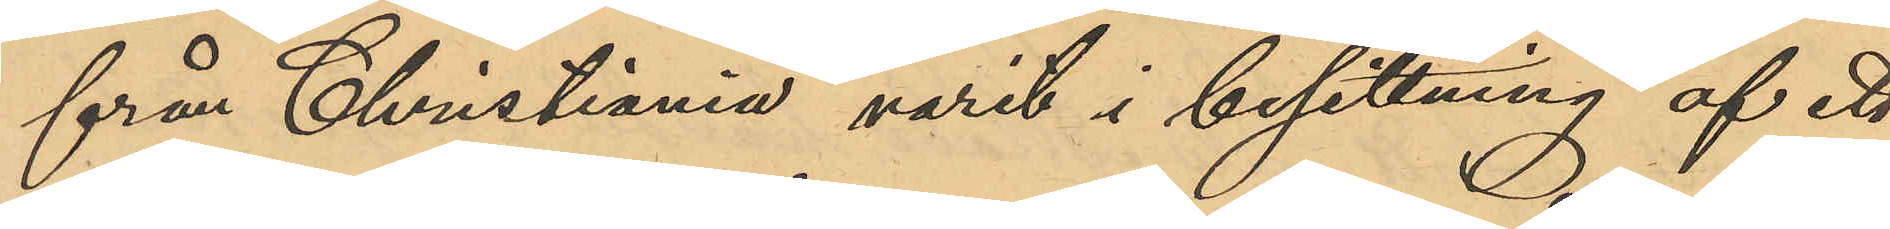från Christiania varit i besittning af ett
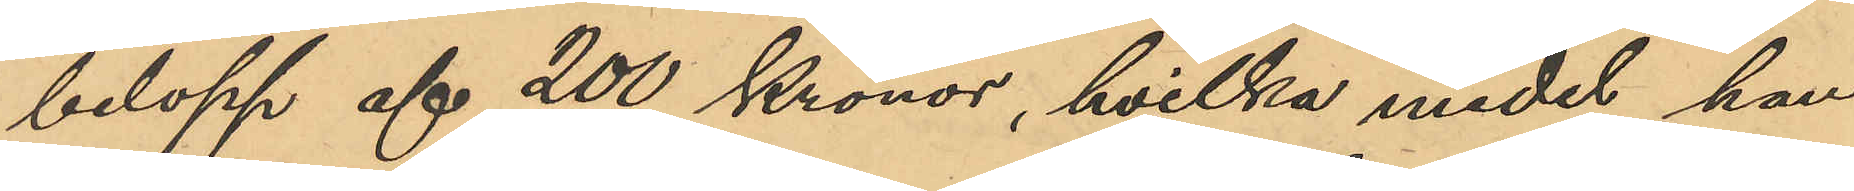belopp af 200 Kronor, hvilka medel han
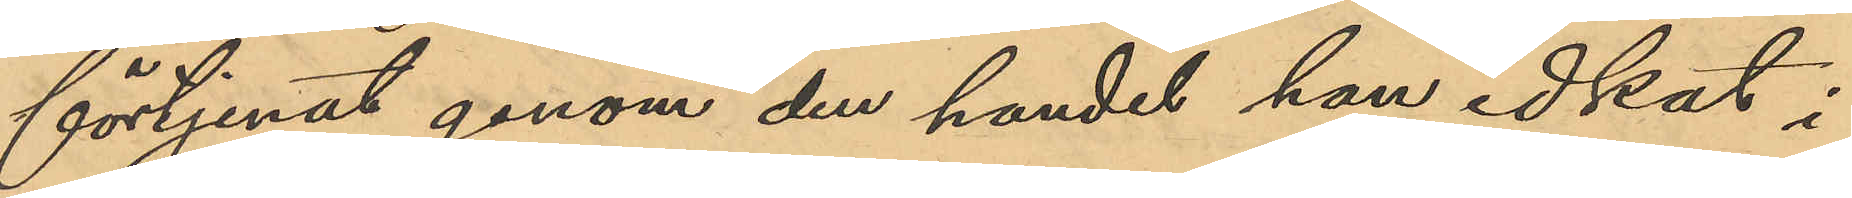förtjenat genom den handel han idkat i
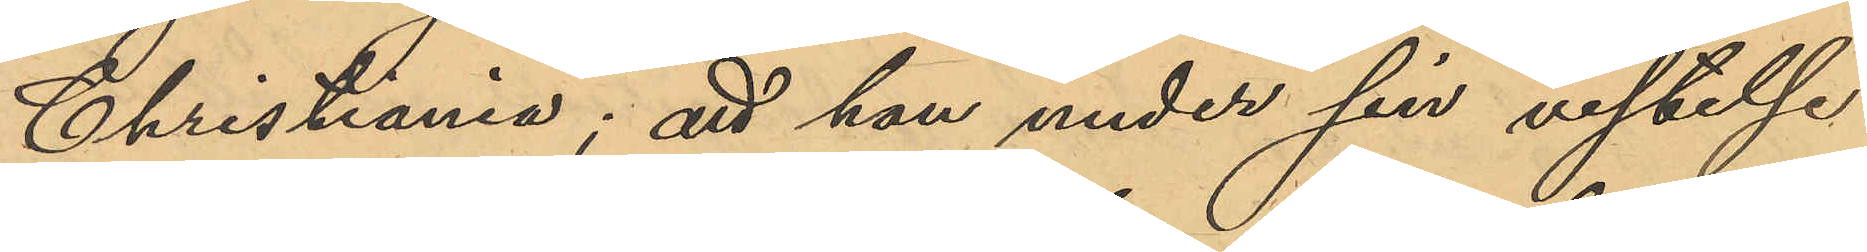Christiania; att han under sin vistelse
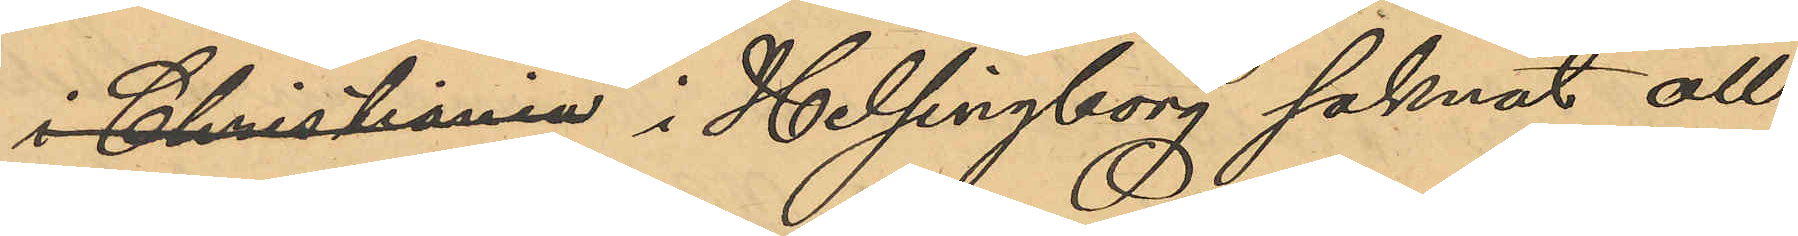i Christiania i Helsingborg saknat all
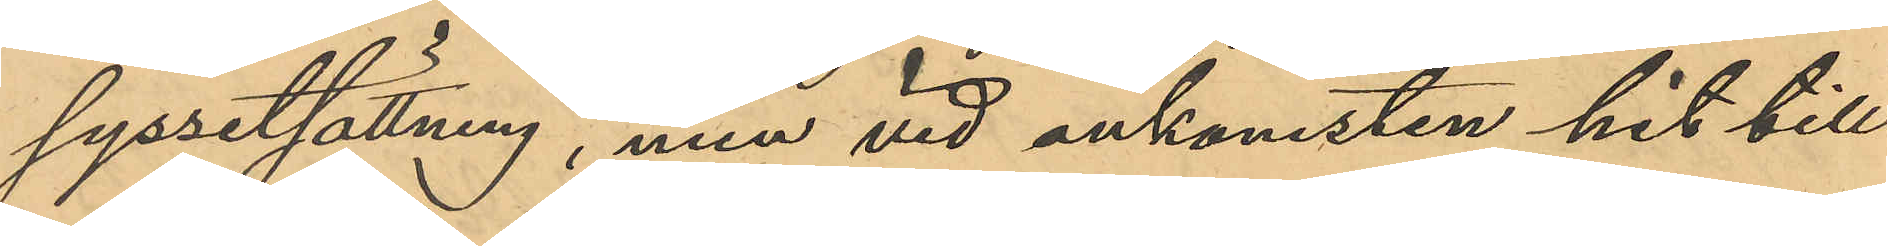sysselsättning, men vid ankomsten hit till
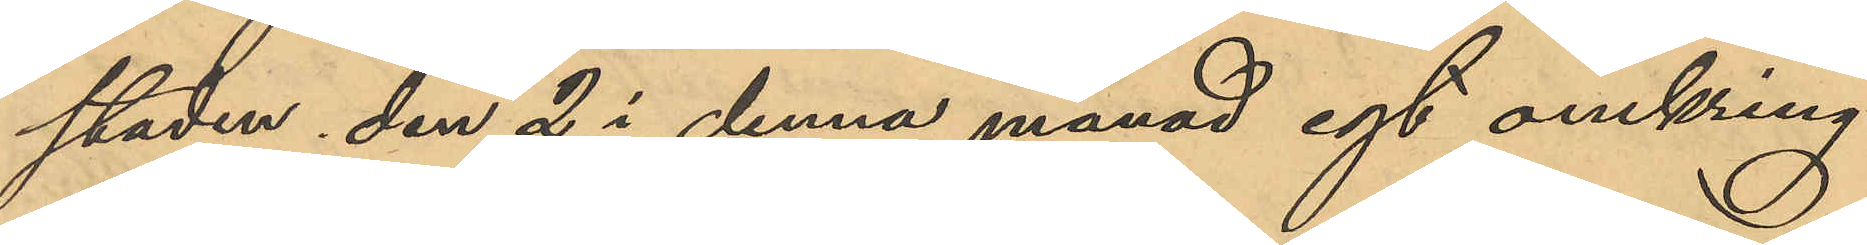staden den 2 i denna månad egt omkring
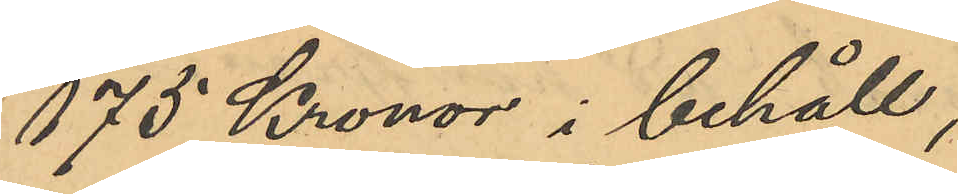175 Kronor i behåll;
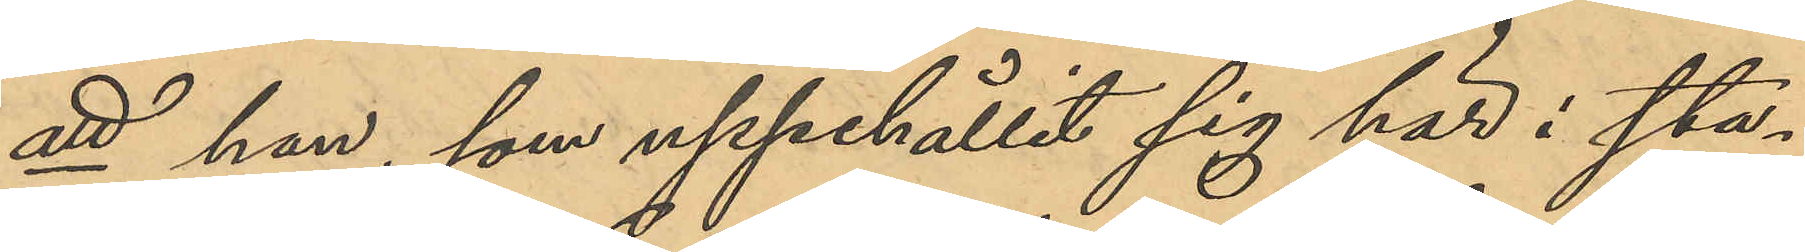att han, som uppehållit sig här i sta¬
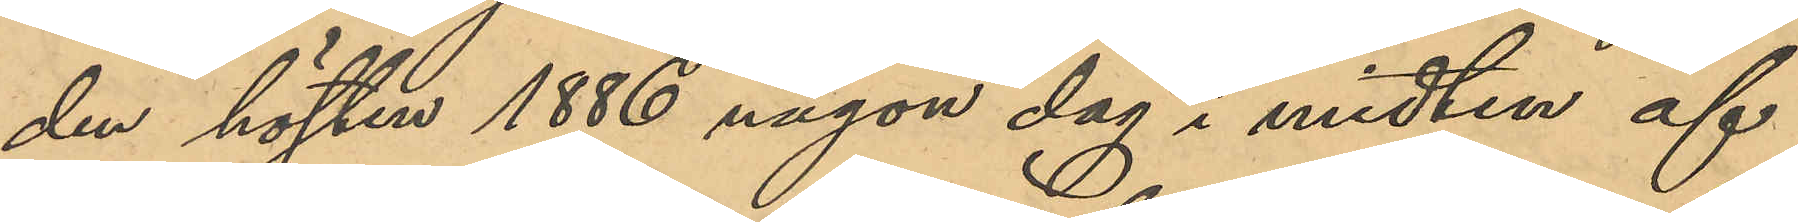den hösten 1886 någon dag i midten af
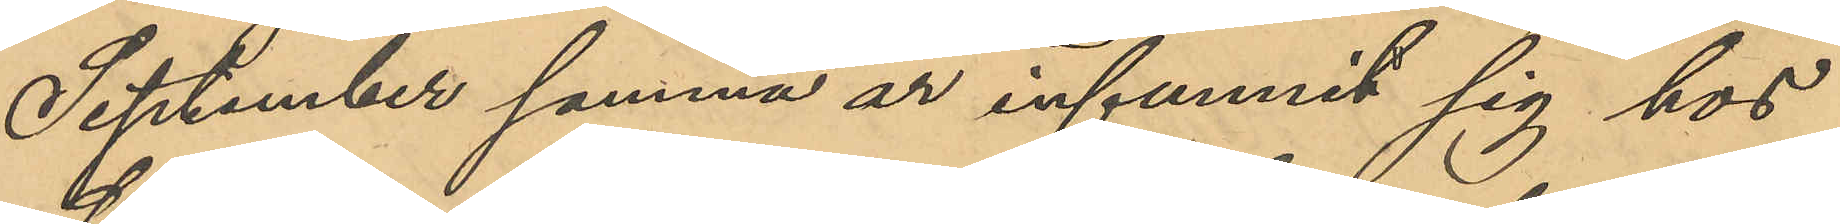September samma år infunnit sig hos
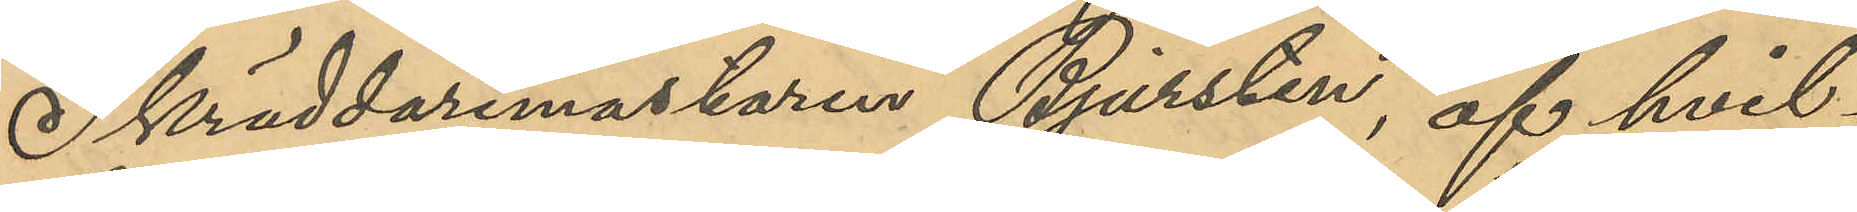Skräddaremästaren Bjursten, af hvil¬
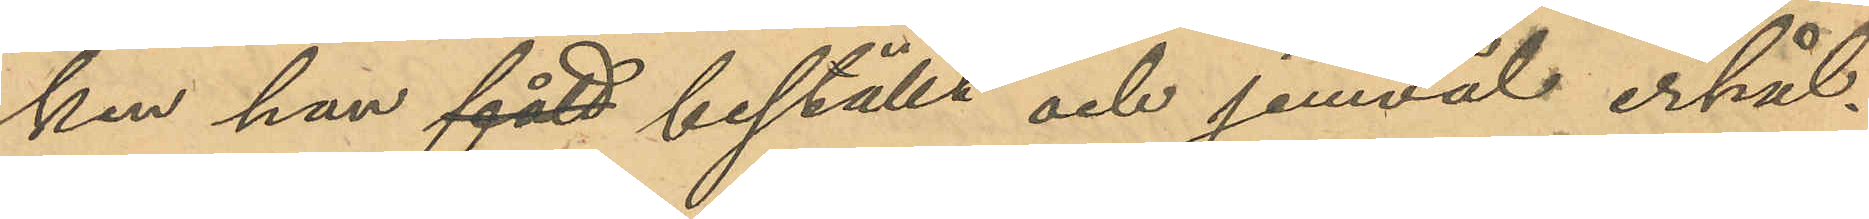ken han fått beställt och jemväl erhål¬
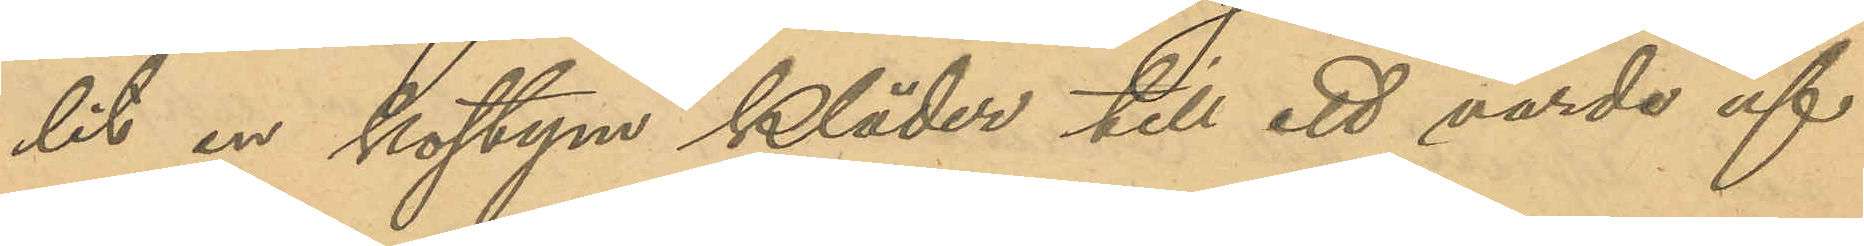lit en kostym kläder till ett värde af
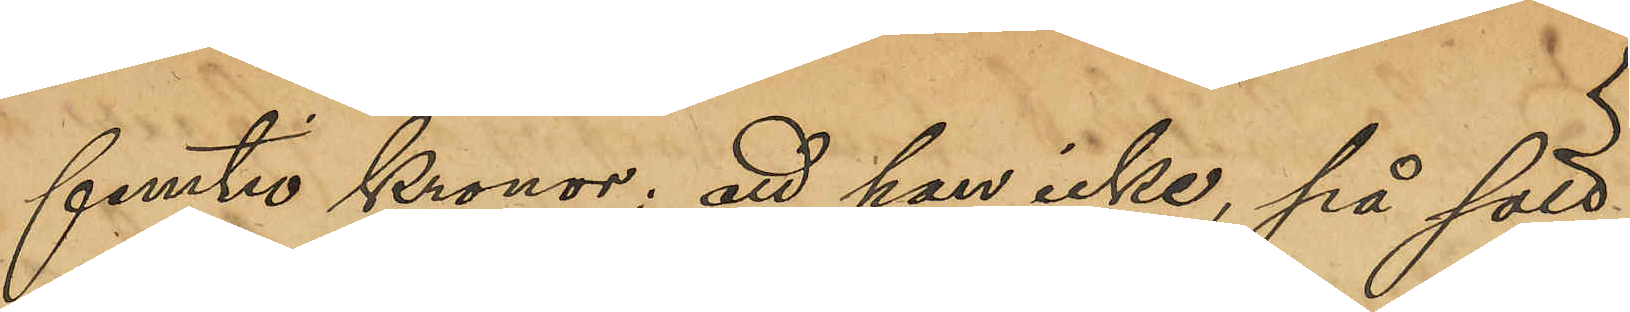femtio Kronor; att han icke, på sätt
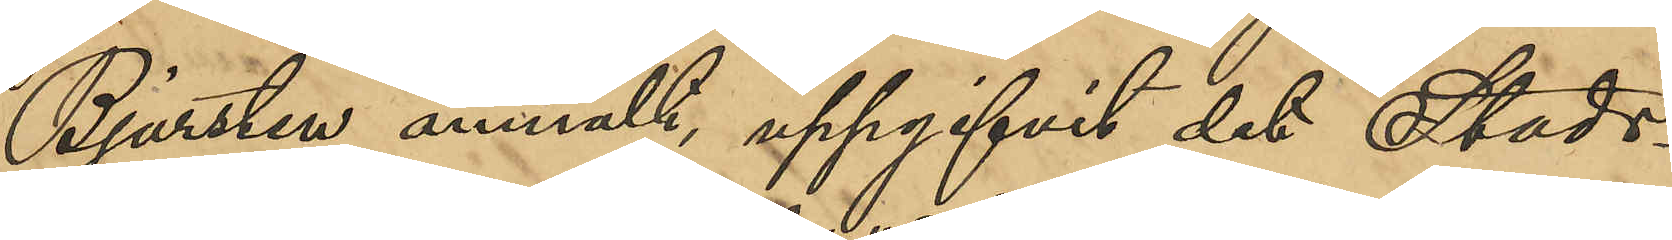Bjursten anmält, uppgifvit det Stads¬
